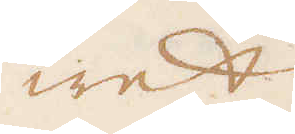wet
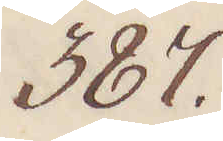387.
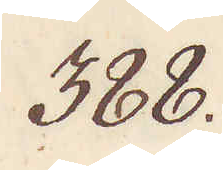388.
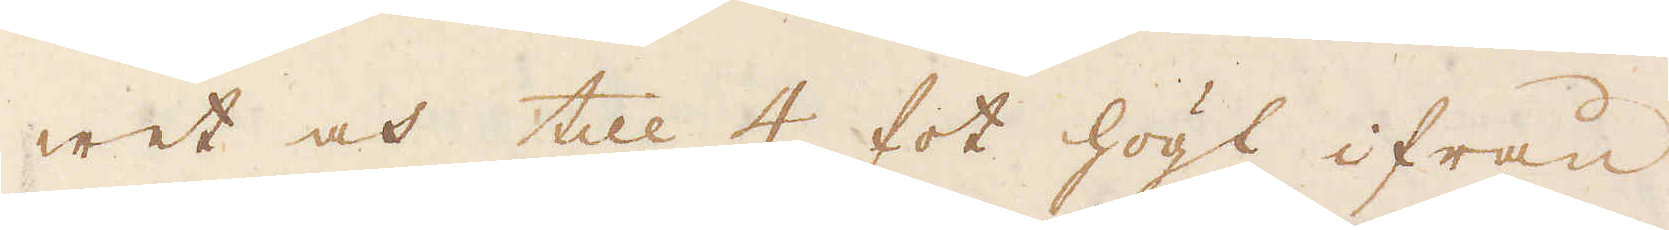wet och till 4 fot högt ifrån
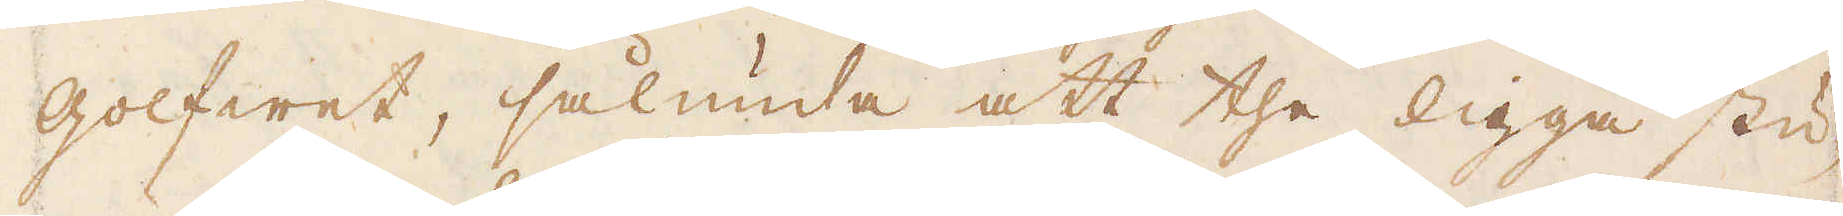golfwet, sålunda att the ligga stu-
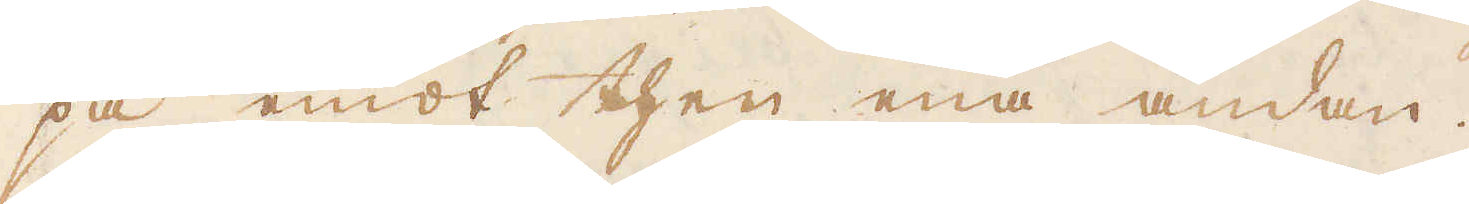pa emot then ena ändan.
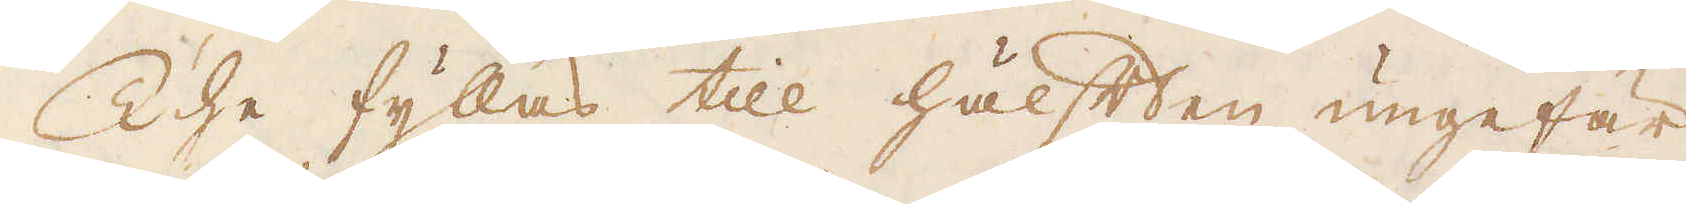The fyllas till hälften ungefär
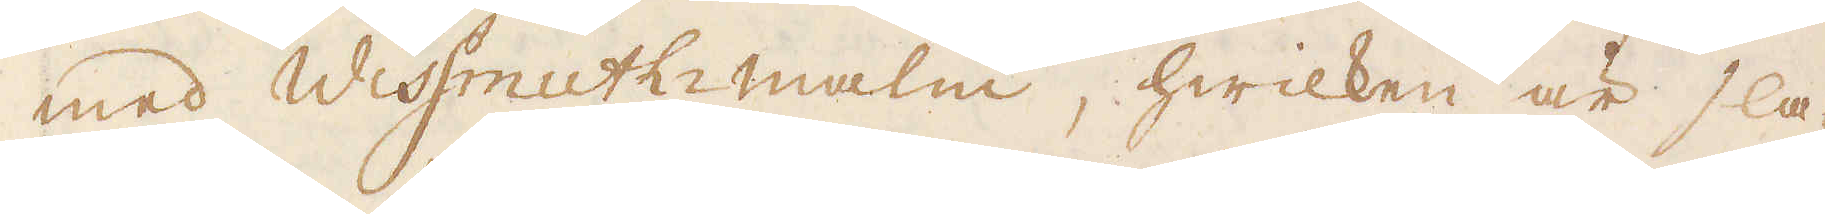med Wissmuth-malm, hwilken är sla-
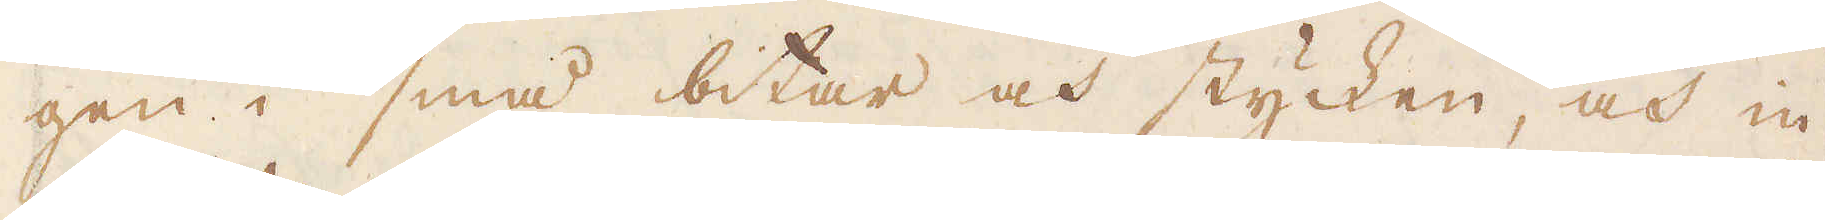gen i små bitar och stycken, och in-
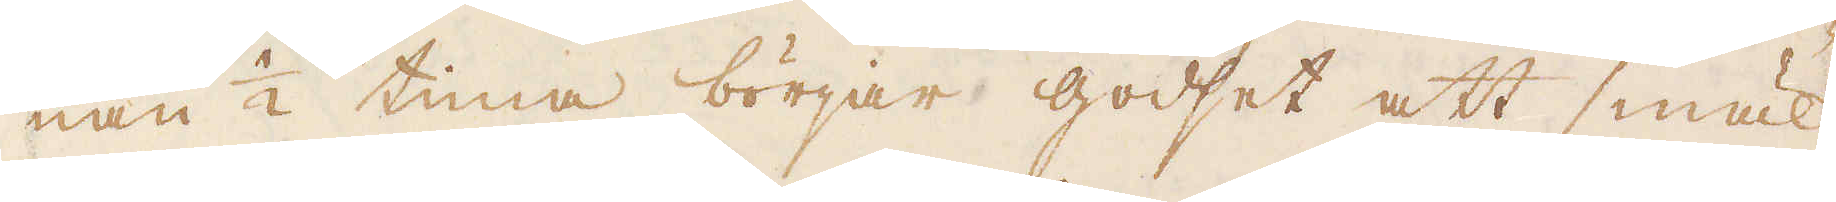nan 1/2 tima börjar godset att smäl-
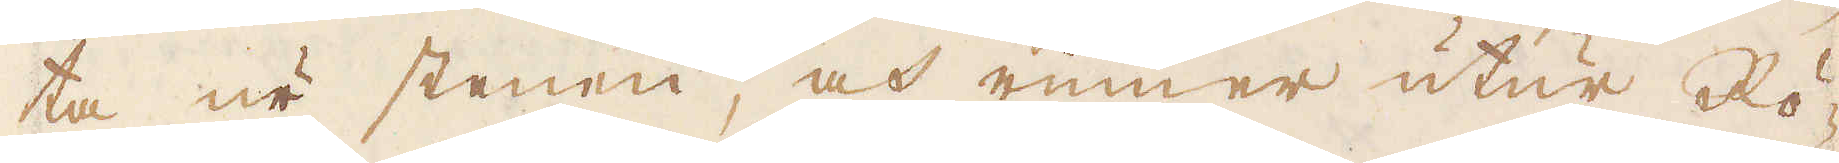ta ur stenen, och rinner utur Rö-
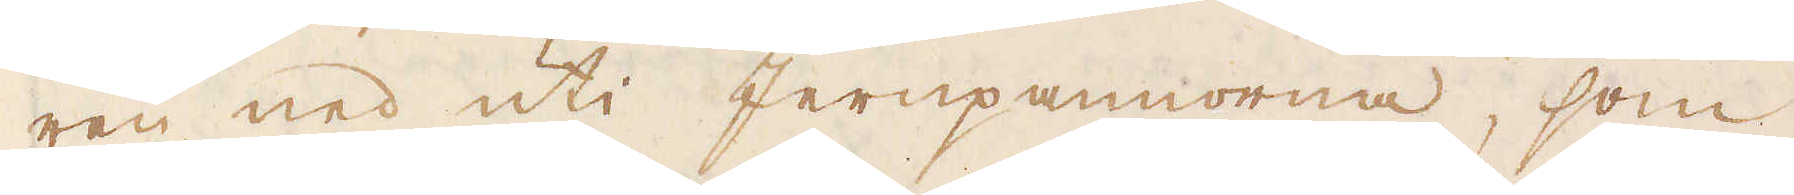ren ned uti Jernpannorna, som
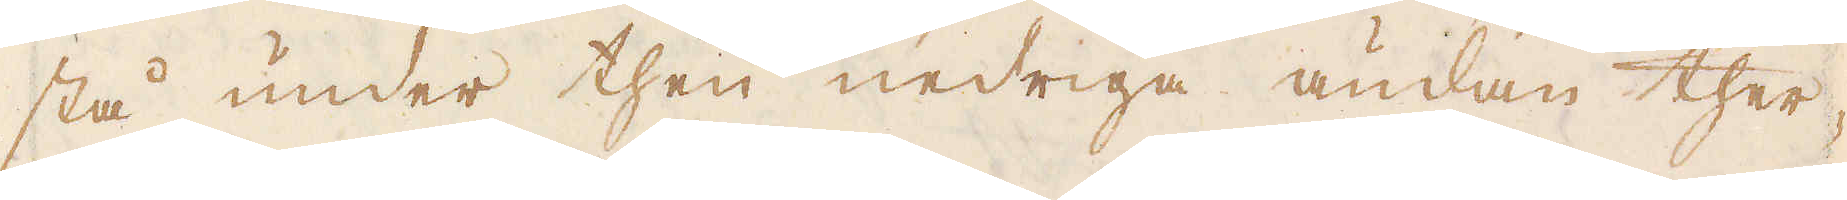stå under then nedriga ändan ther-
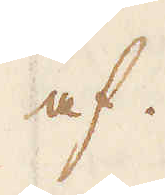af.
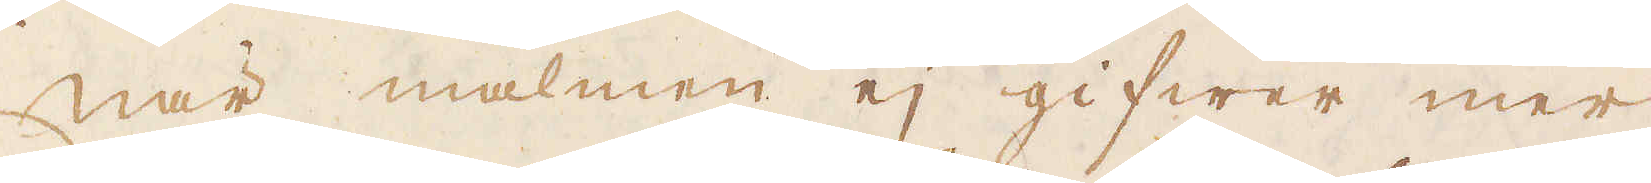När malmen ej gifwer mer
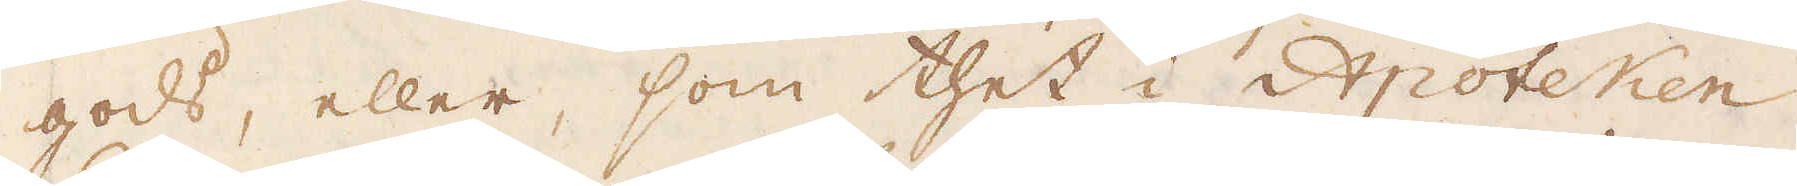gods, eller, som thet i Apoteken
